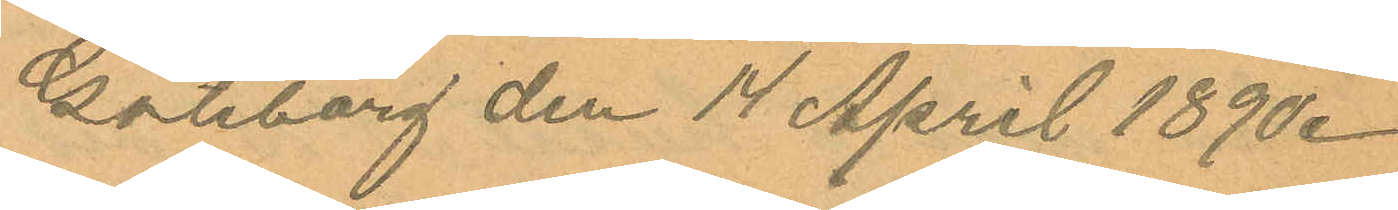Göteborg den 14 April 1890.
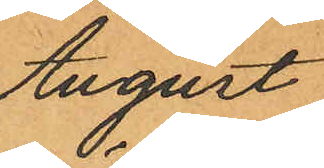August
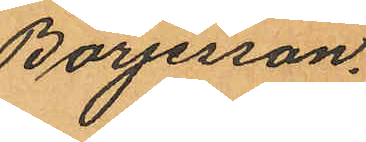Börjesson.
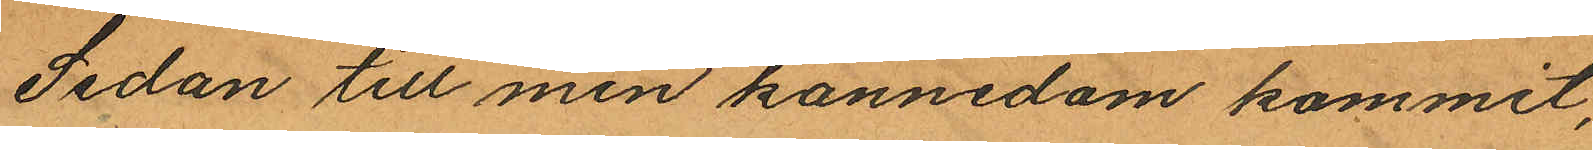Sedan till min kännedom kommit,
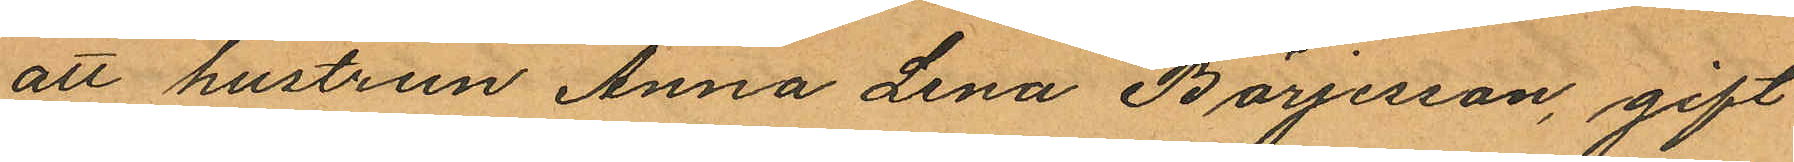att hustrun Anna Lena Börjesson, gift
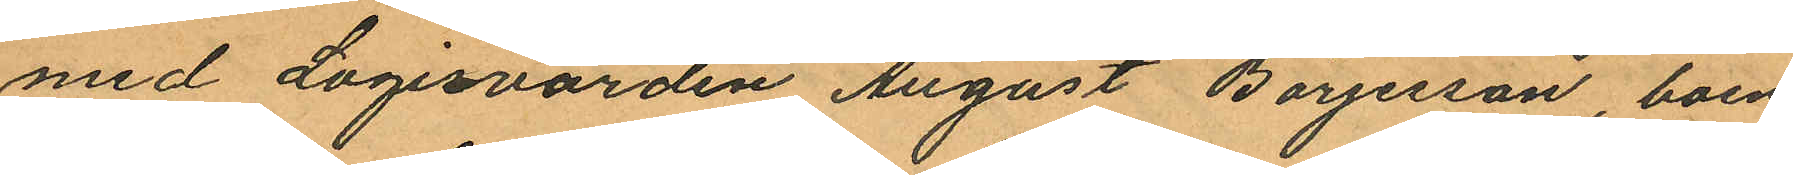med Logisvärden August Börjesson, boen¬
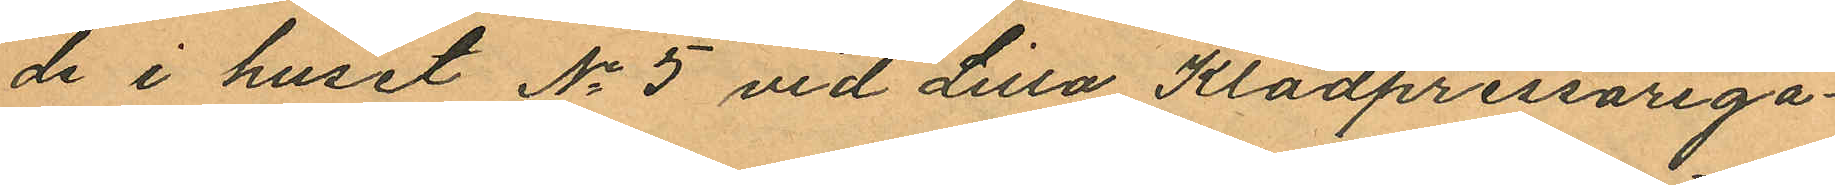de i huset No 5 vid Lilla Klädpressarega¬
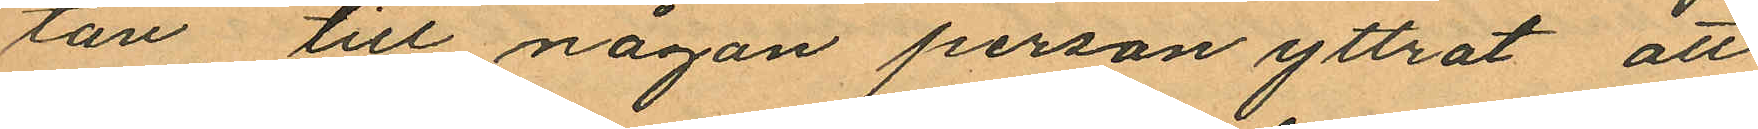tan till någon person yttrat att
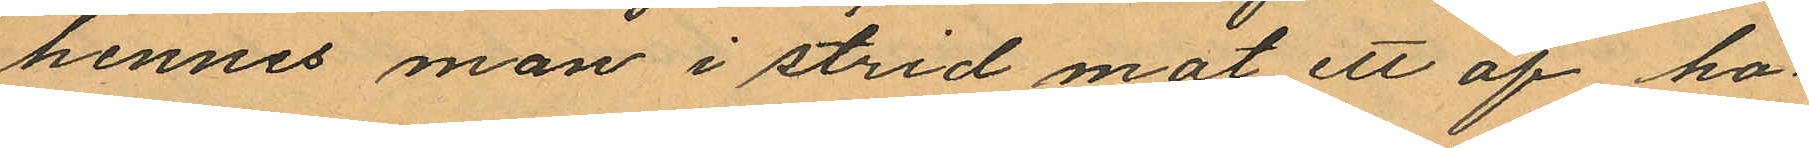hennes man i strid mot ett af ho¬
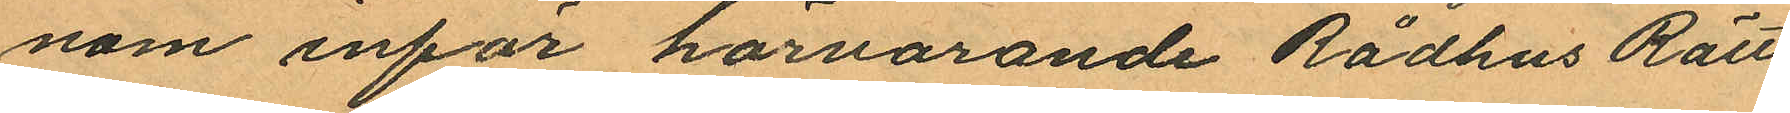nom inför härvarande Rådhus Rätt
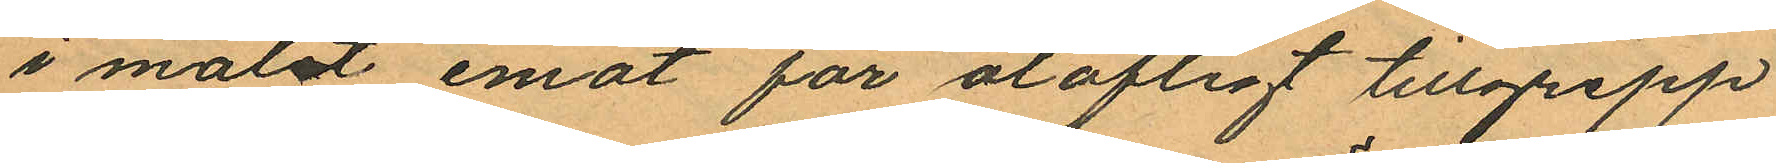i målet emot för olofligt tillgrepp
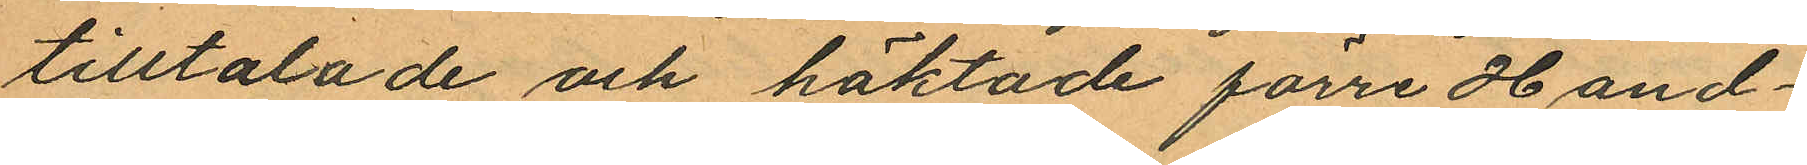tilltalade och häktade förre Hand¬
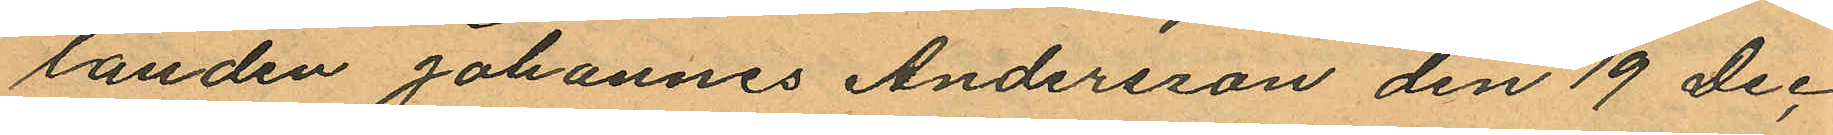landen Johannes Andersson den 19 Dec.
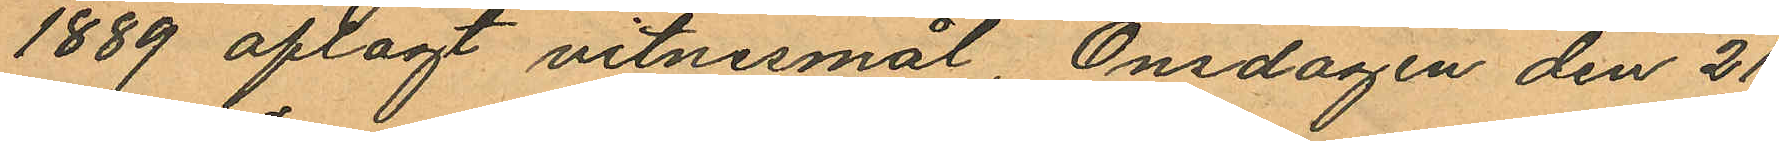1889 aflagt vitnesmål, Onsdagen den 21
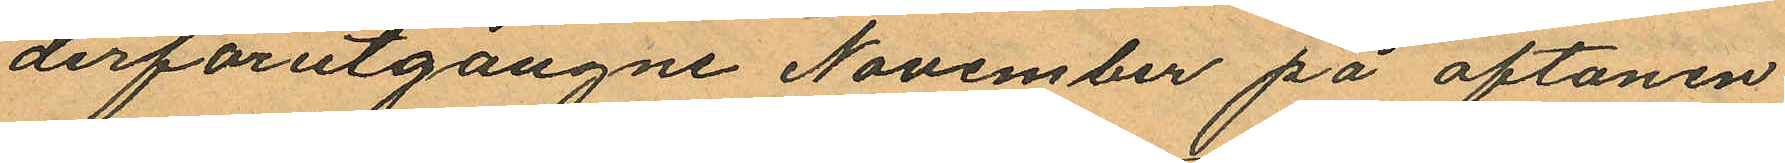derförutgångne November på aftonen
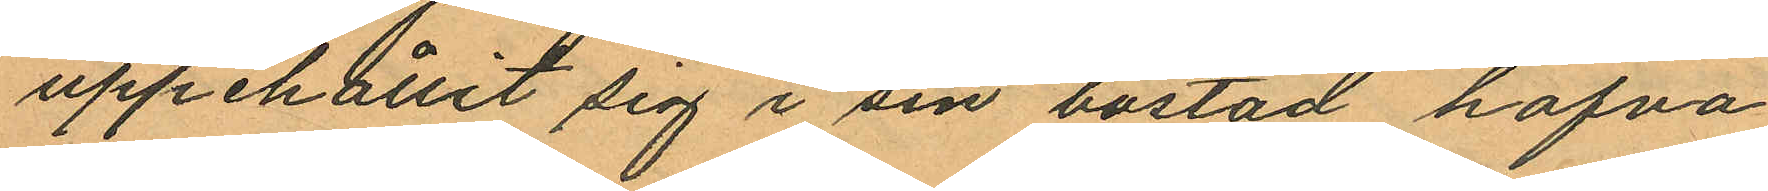uppehållit sig i sin bostad hafva
